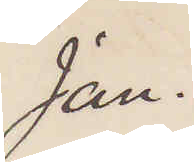Jan.
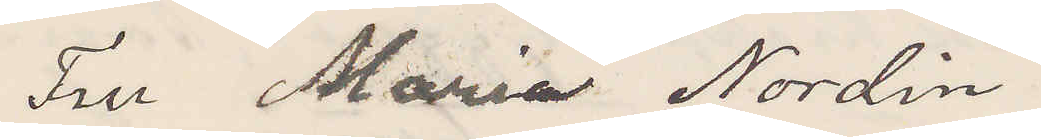Fru Maria Nordin
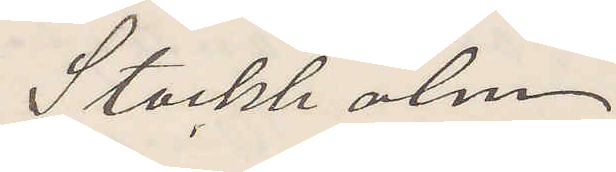Stockholm
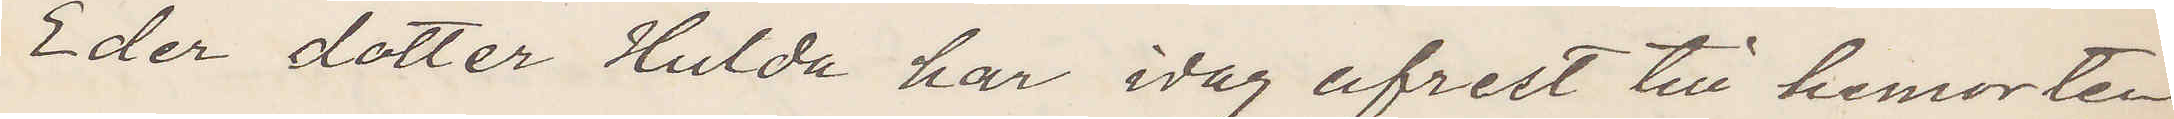Eder dotter Hulda har idag afrest till hemorten
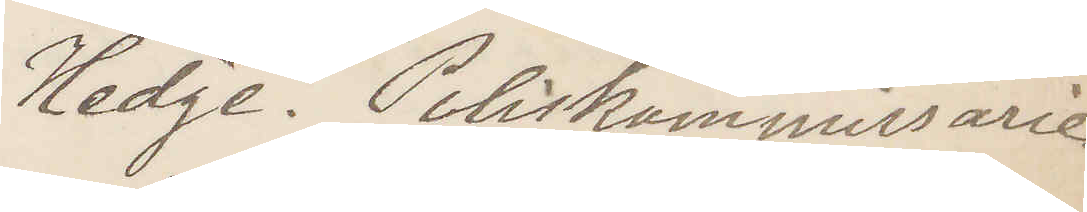Hedge. Poliskammissarie.
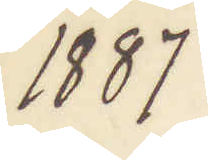1887
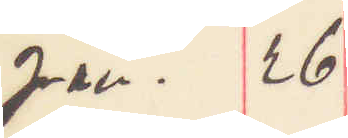Jan. 26
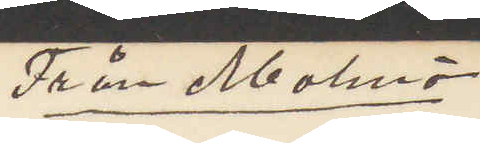Från Malmö 
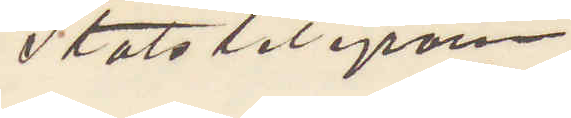Statstelegram.
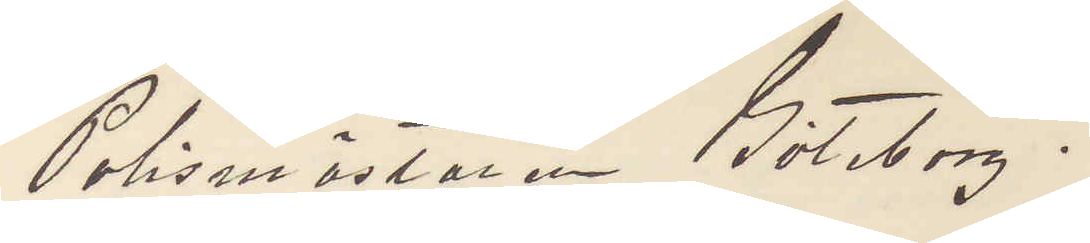Polsmästaren Göteborg.
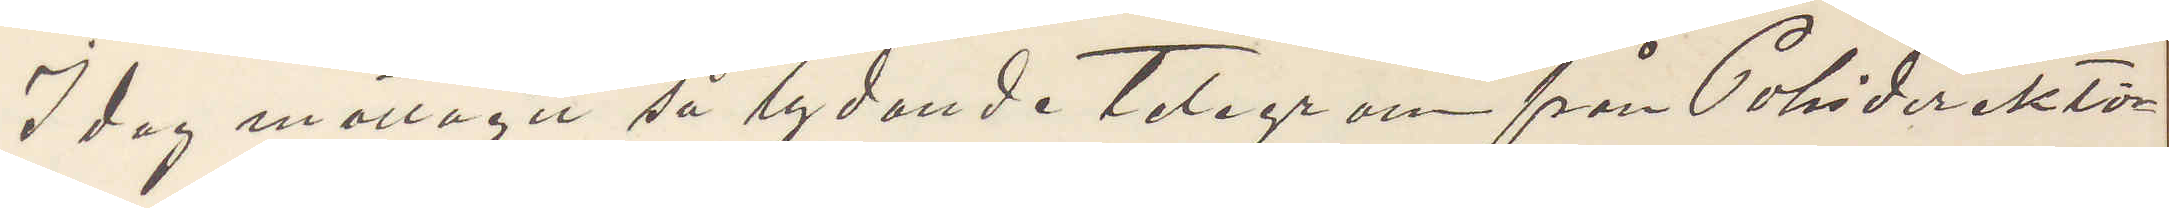I dag mottagit så lydande telegram från Polisdirektö¬
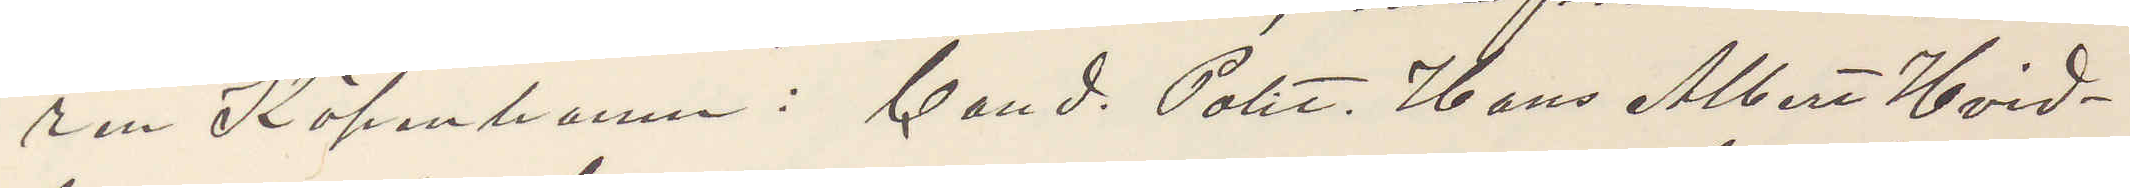ren Köpenhamn: Cand. Polit, Hans Albert Hvid¬
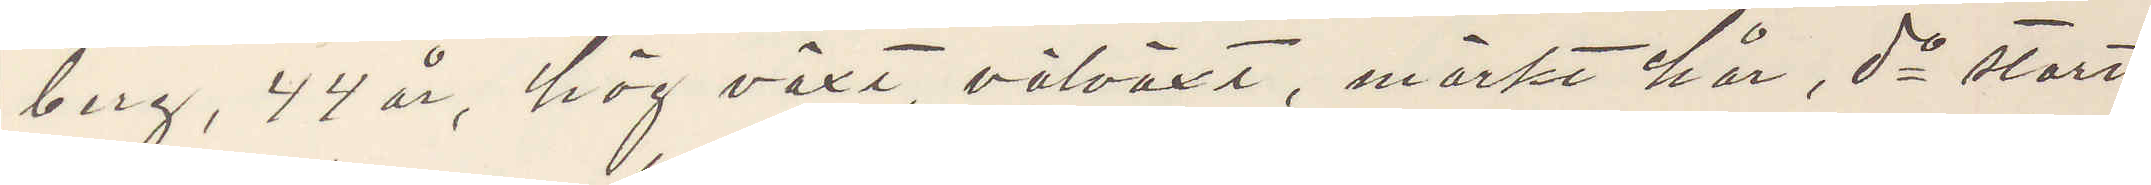berg, 44 år, hög växt, välväxt, mörkt här, do stort
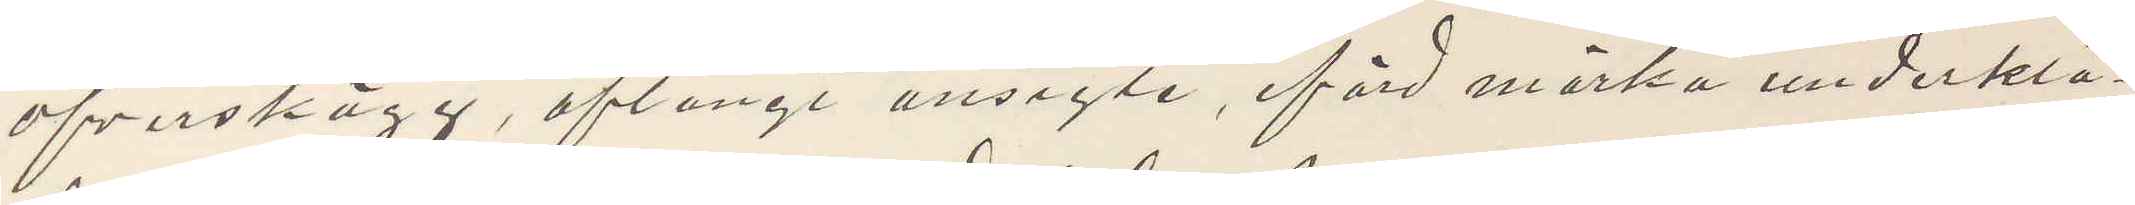öfverskägg, aflångt ansigte, iförd mörka underklä¬
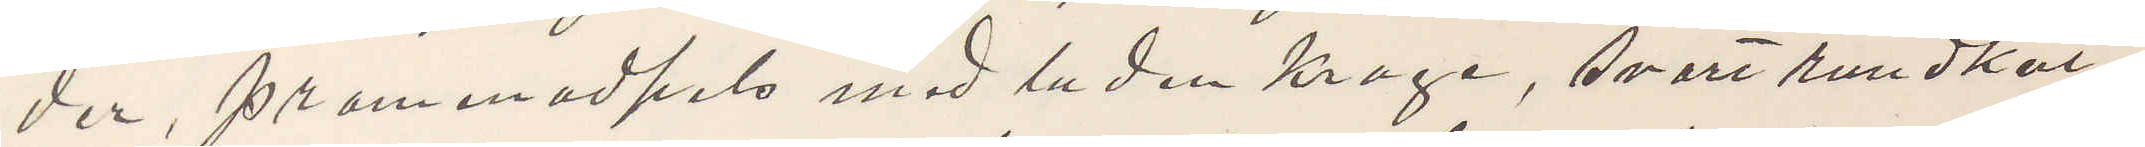der, promenadpels med luden krage, svart rundkul¬
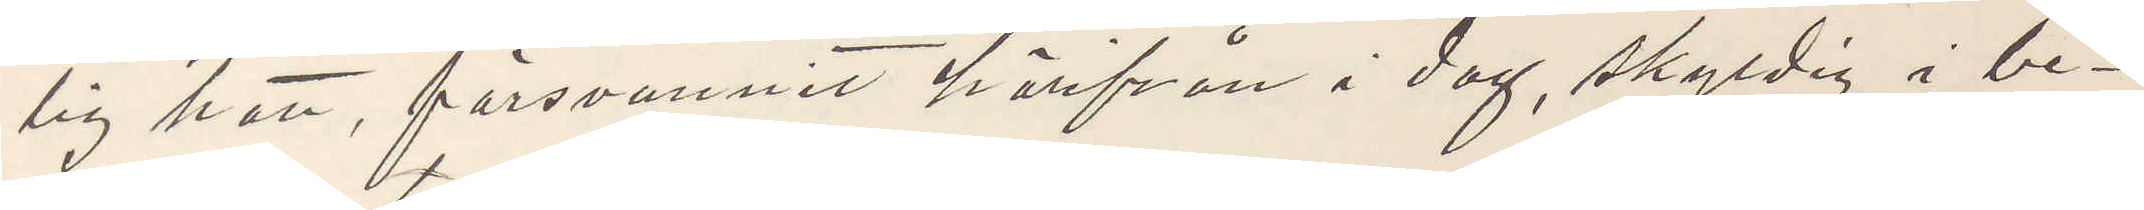lig hatt, försvunnit härifrån i dag, skyldig i be¬
